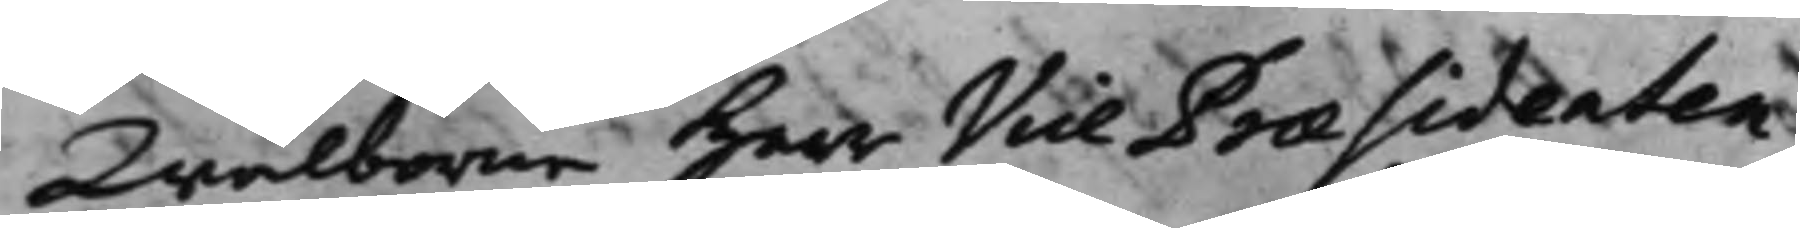Wälborne Herr Vice Praesidenten,
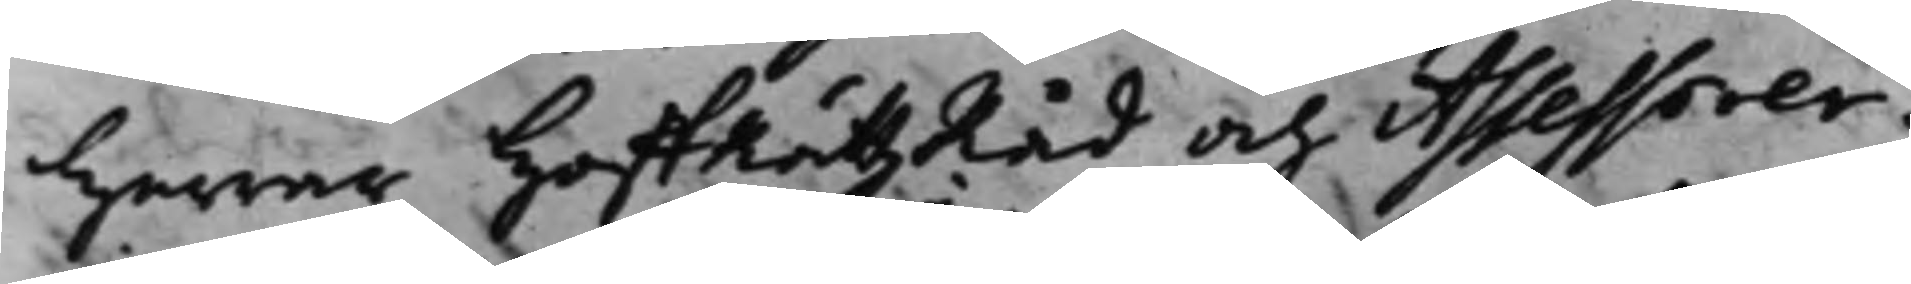Herrar HoffRättzRåd och Assessorer:
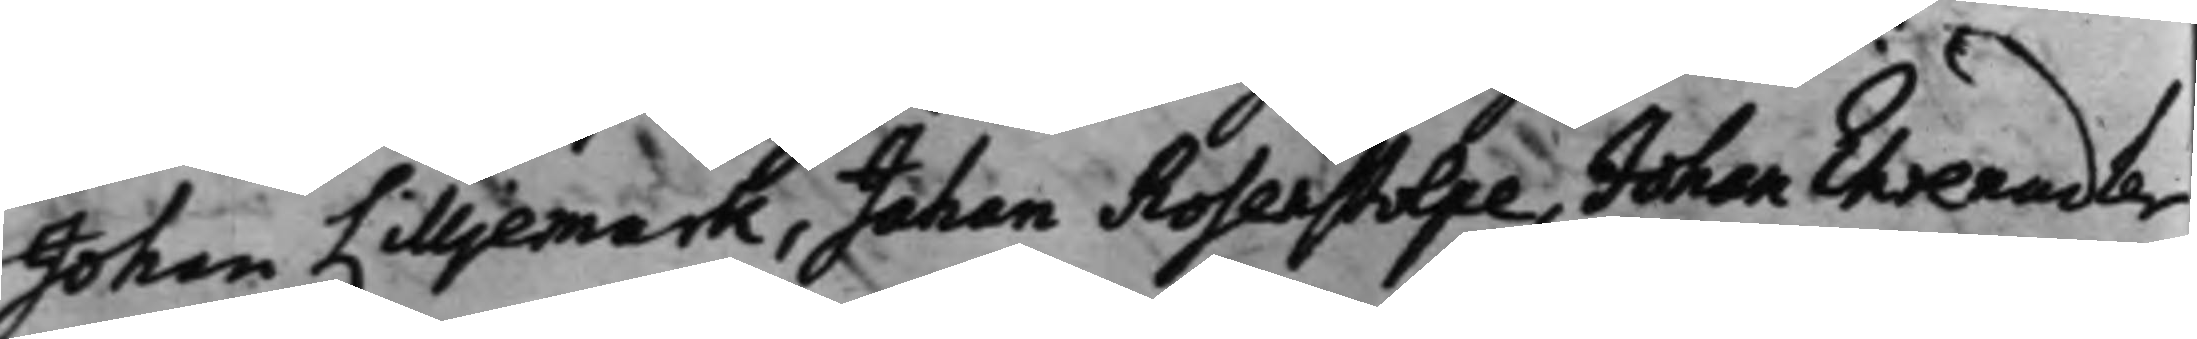Johan Lilljemark, Johan Rosenstolpe, Johan Ehrenadler,
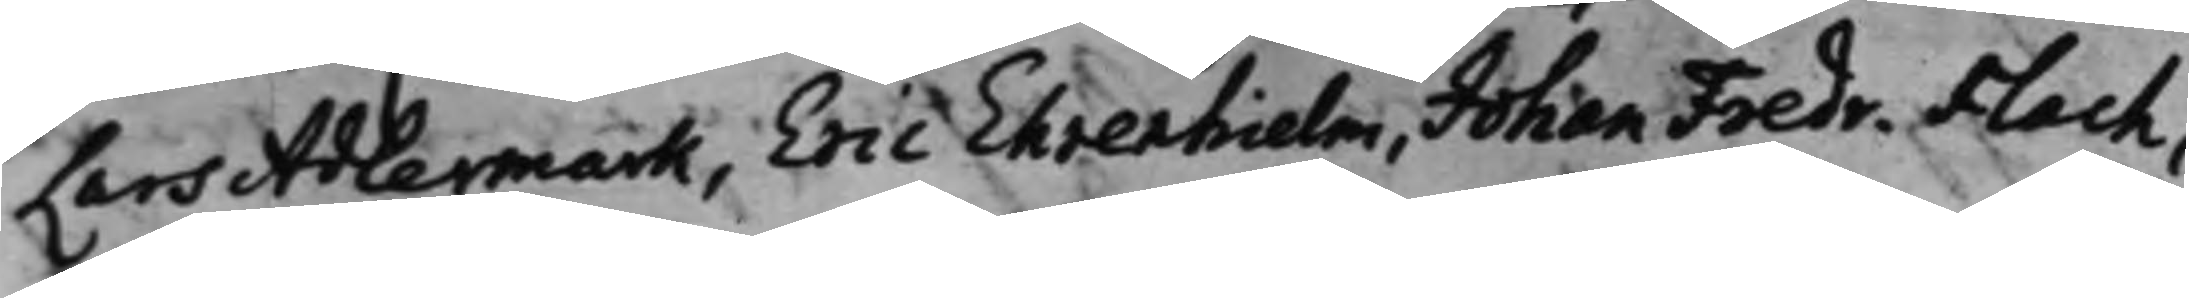Lars Adlermark, Eric Ehrenhielm, Johan Fredr. Flach,
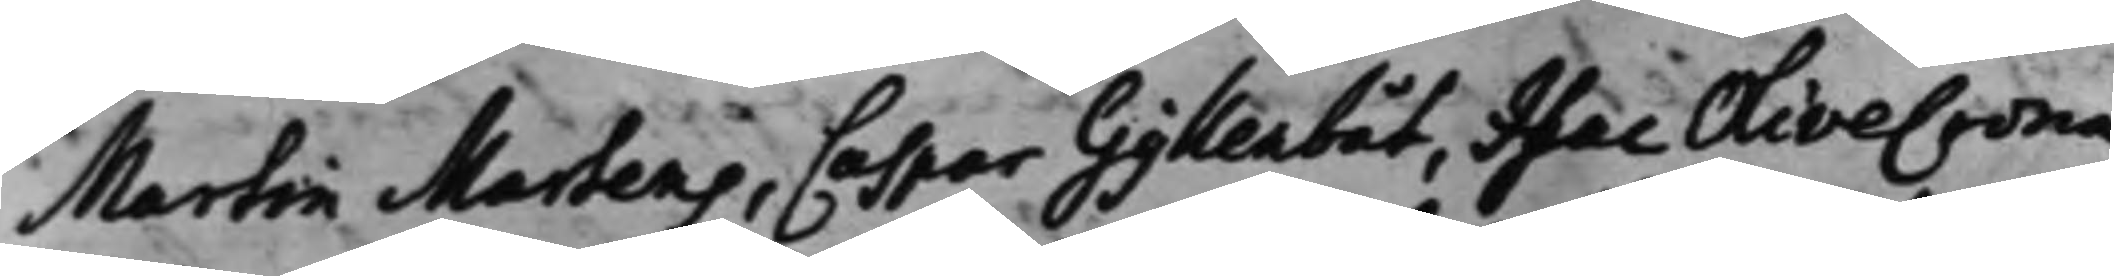Martin Martens, Caspeer Gyllenbåt, Isac Olivecrona.
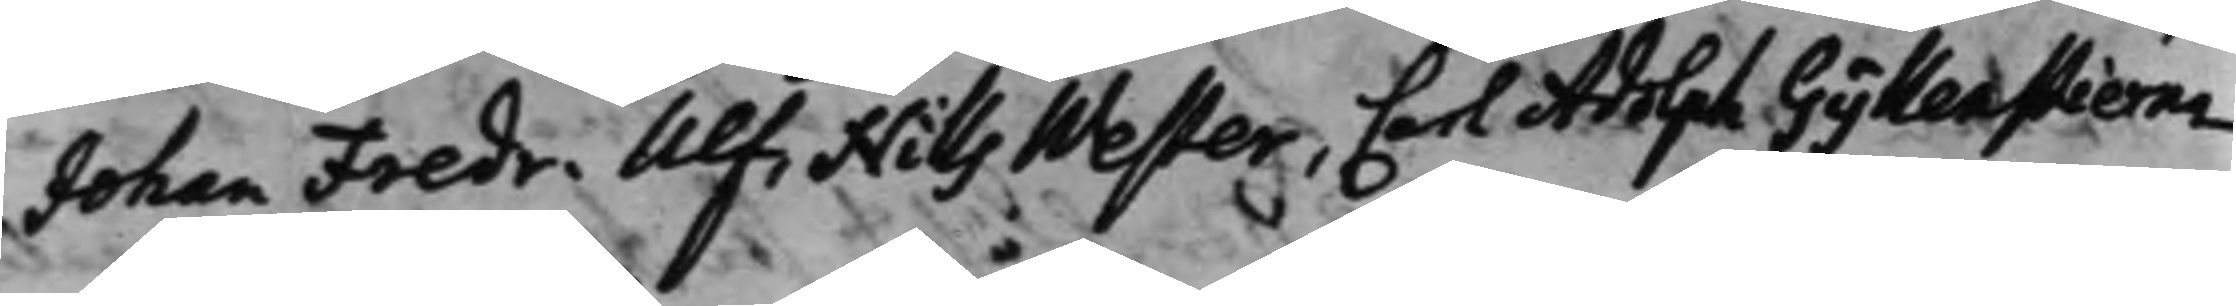Johan Fredr. Ulf, Nills Wester, Carl Adolph Gyllenstierna
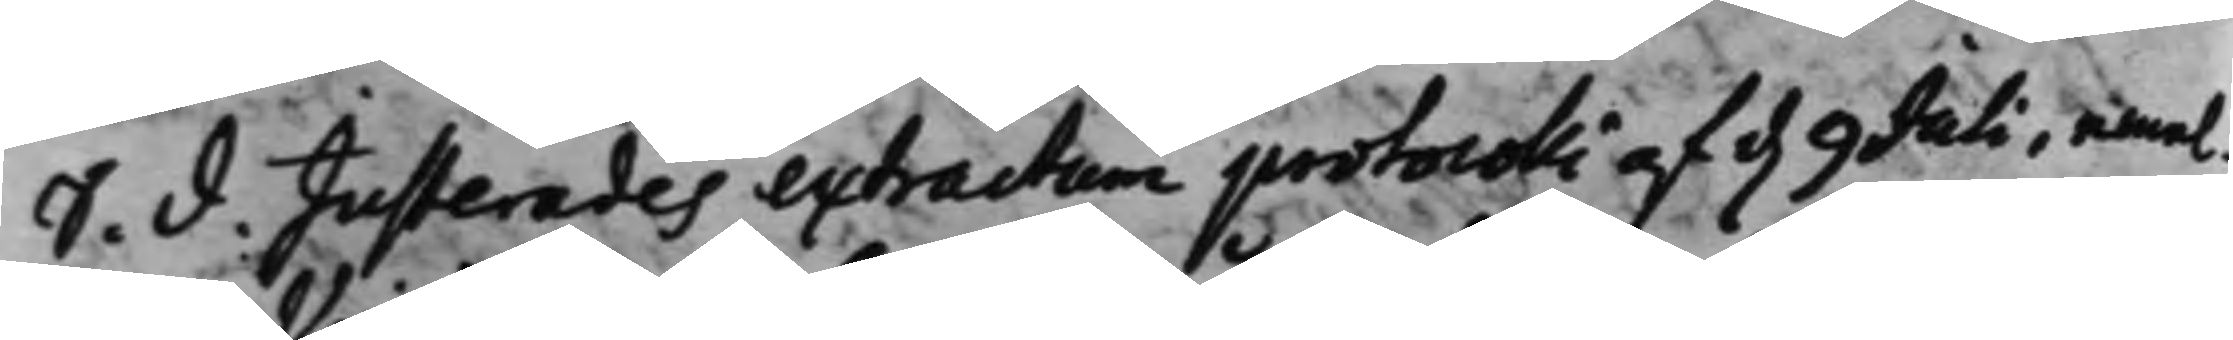S. d. Justerades extractum protocolli af d. 9 Julii, emel¬
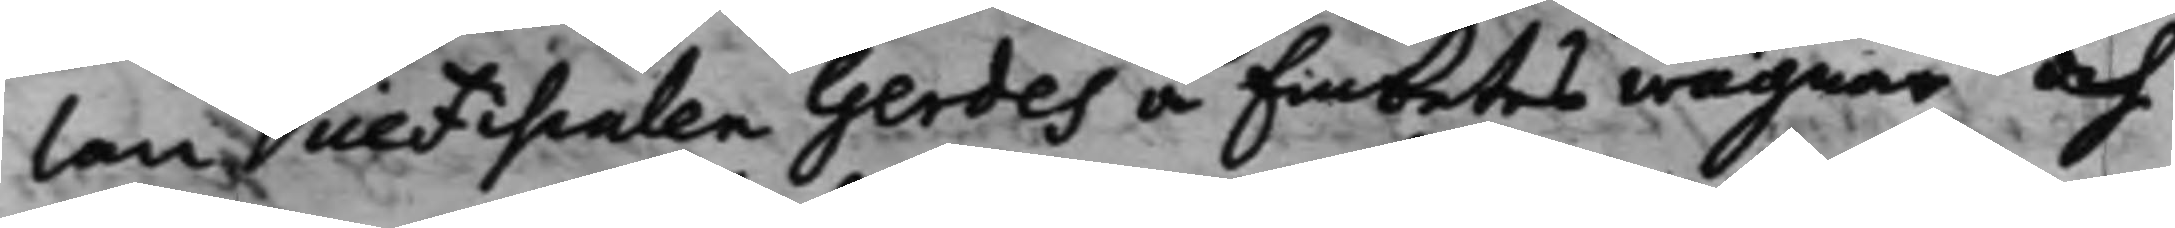lan Vice Fiscalen Gerdes å Embetes wägnar och
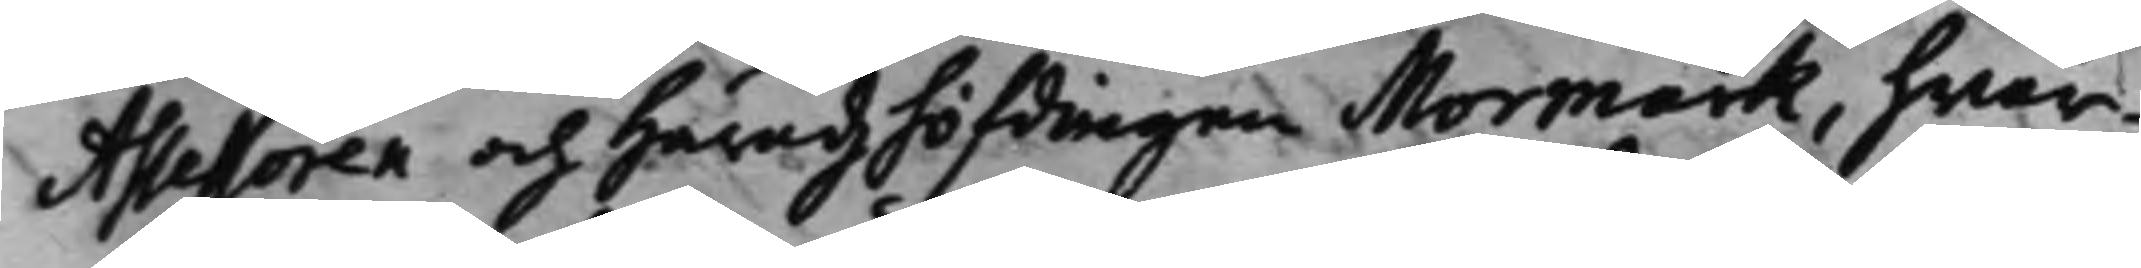Assessoren och Häradzhöfdingen Mormark, hwar¬
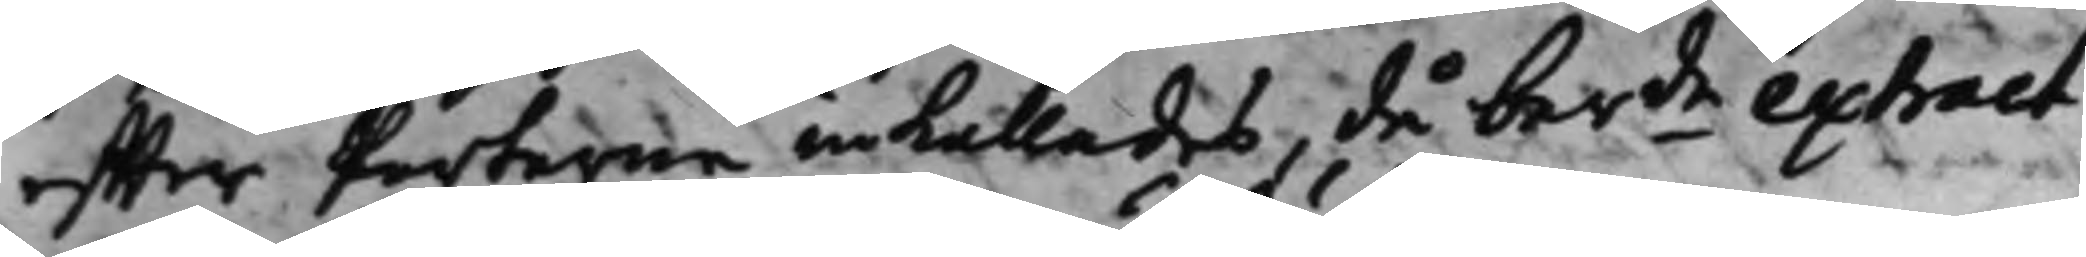effter Parterne inkallades, då berde extract
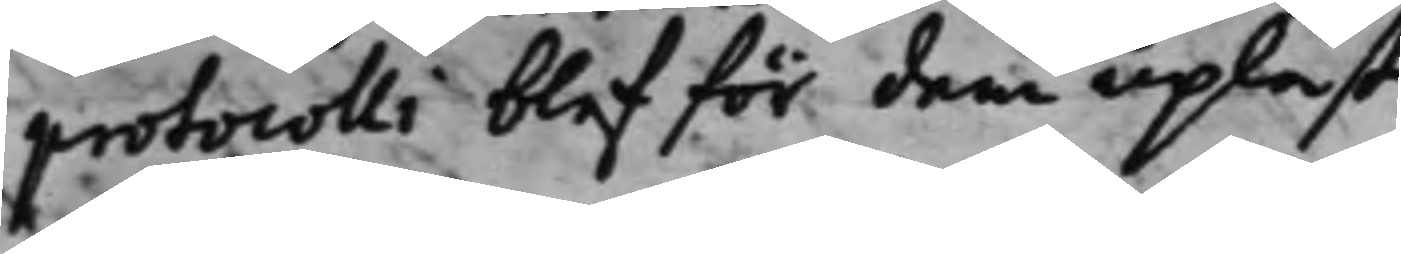protocolli blef för dem upläst.
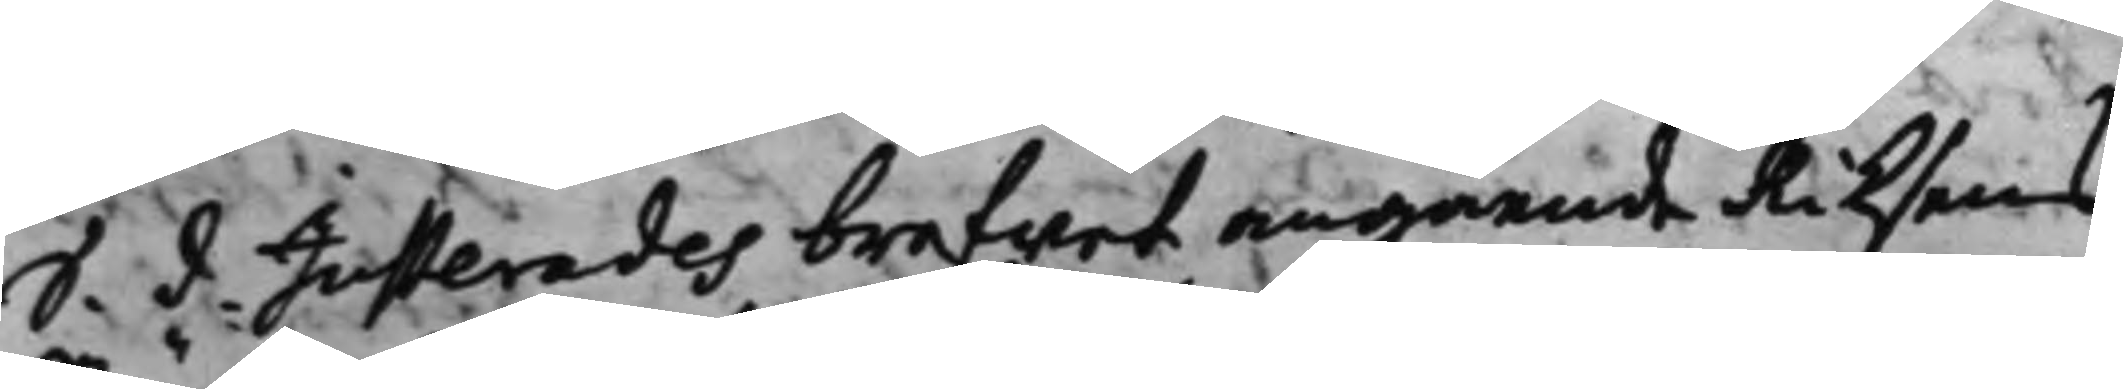S. d. Justerades brefwet, angående Riksens
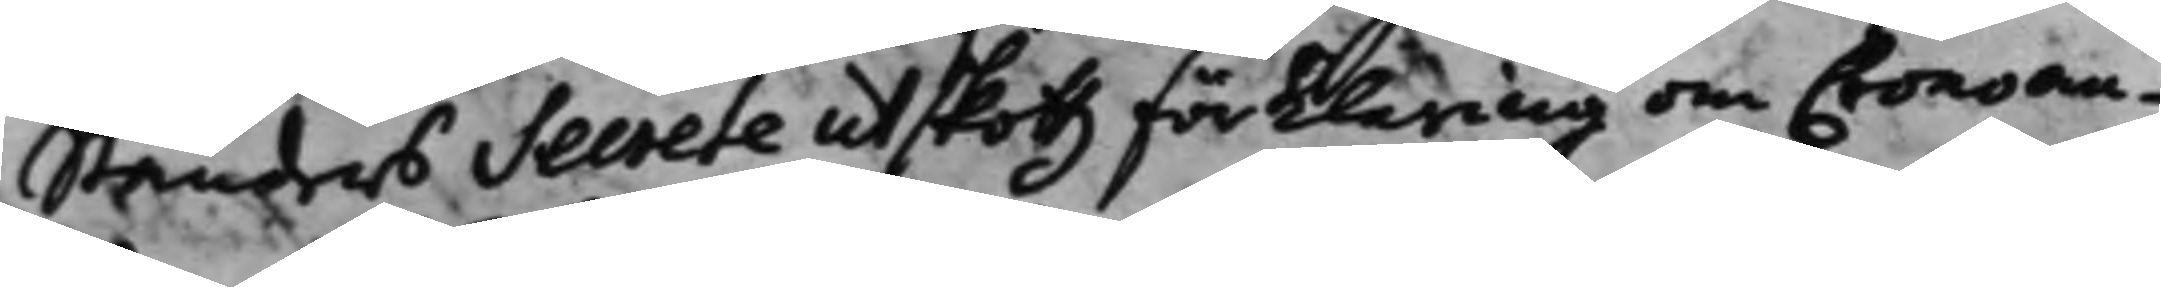Ständers Secrete utskottz förklaring om Cronan¬
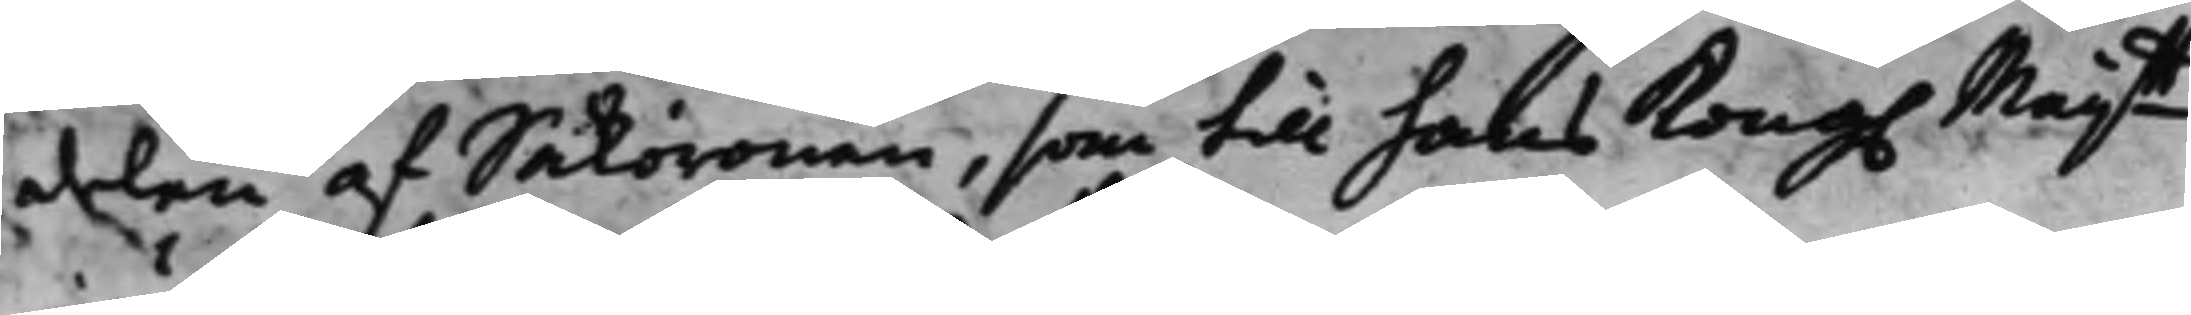delen af Saköronen, som till hans Kong. Maij.tt
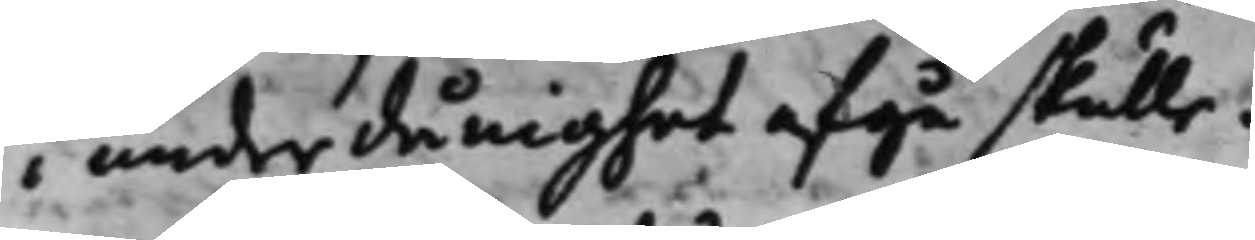i underdånighet afgå skulle.
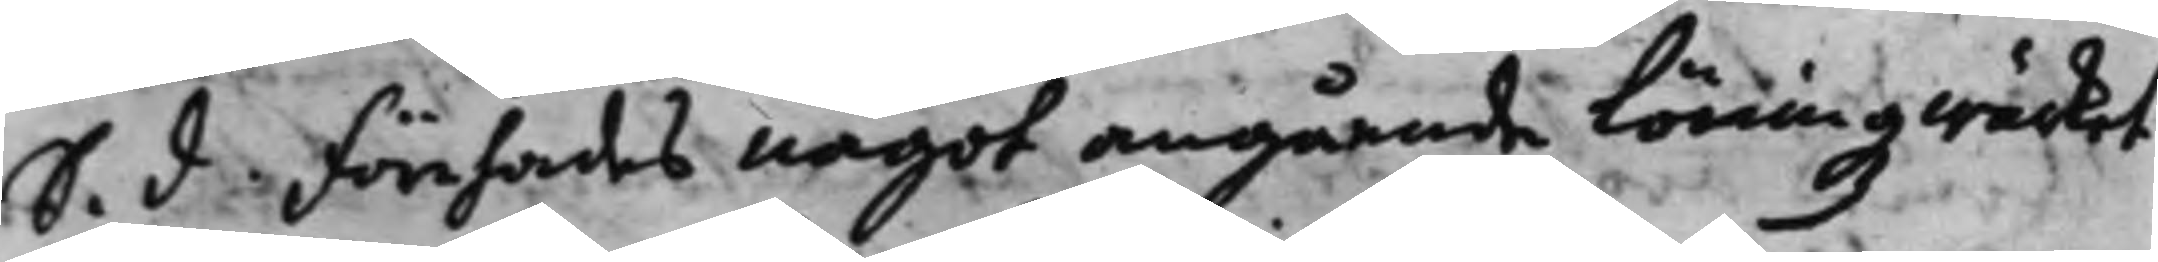S. d. Förehades något angående Löningzwärket
